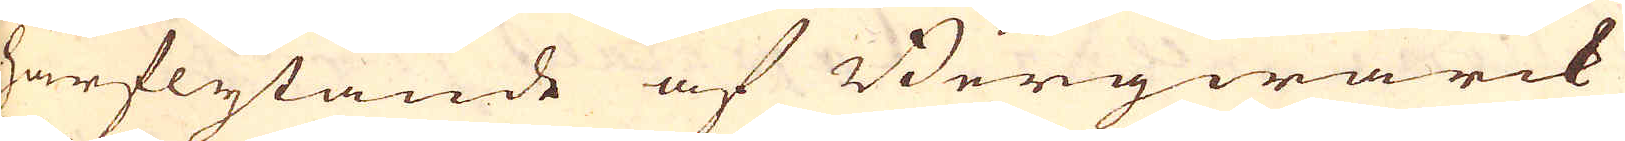härflytande af Bergwärck
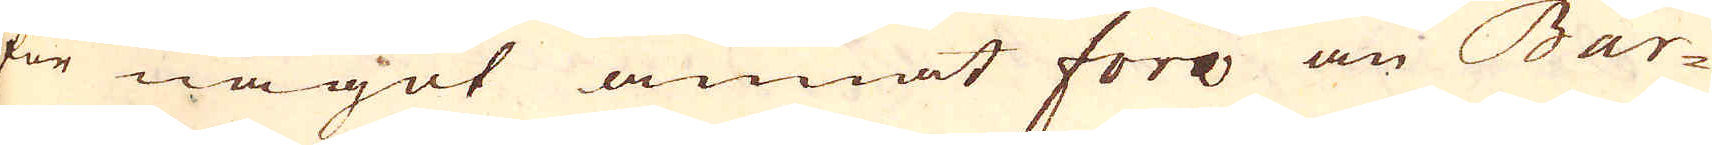för något annat fora än Bar-
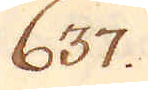637.
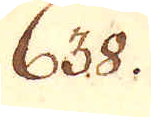638.
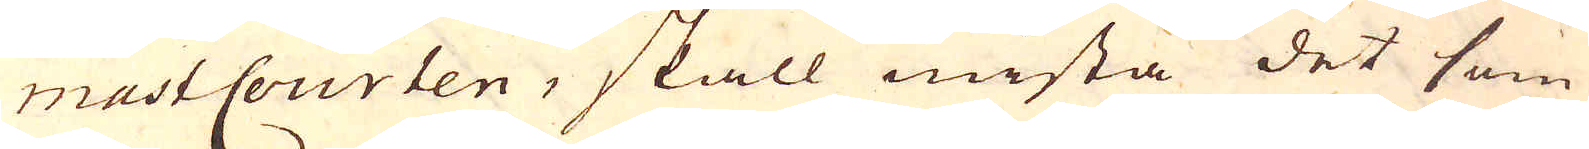mast Courten, skall mista det som
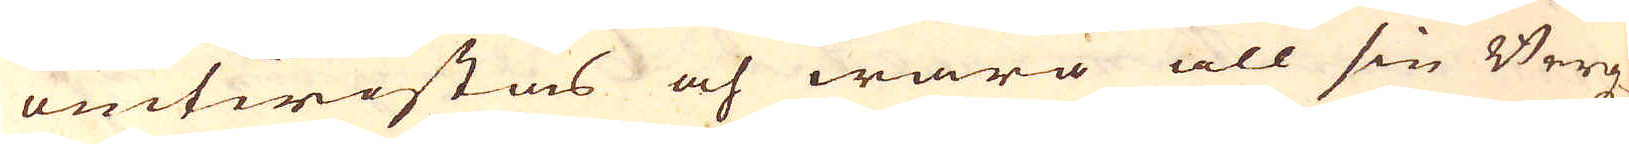omtwistas och wara all sin Bergz-
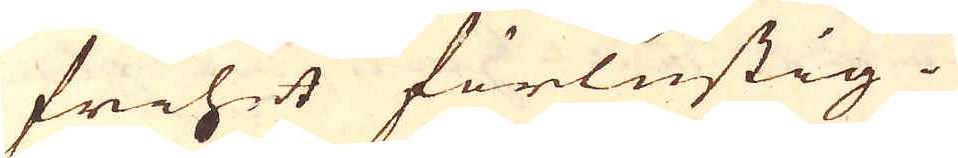frihet förlustig.
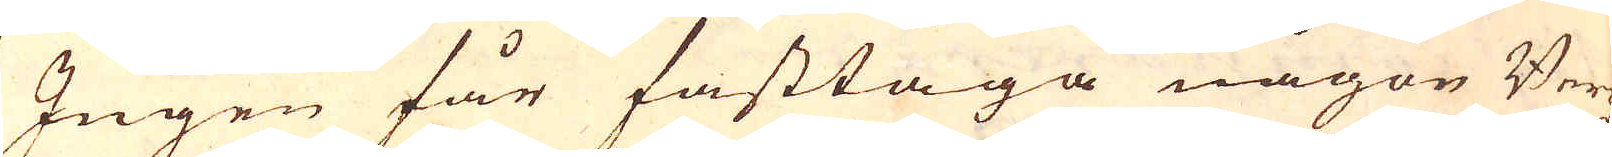Ingen får fasttaga någon Bergz-
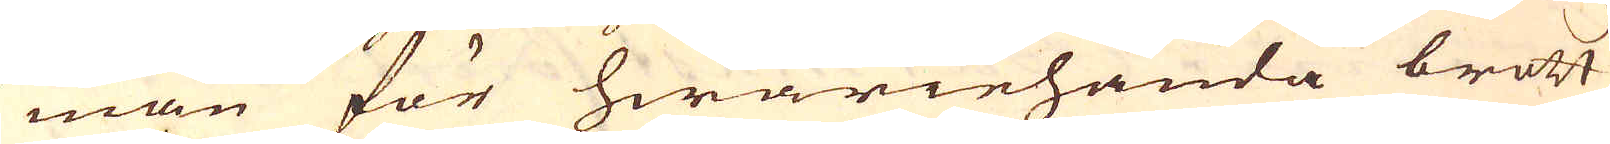man för hwariehanda brott
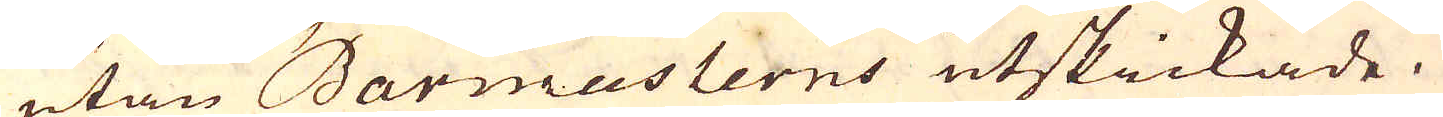utan Barmasterns utskickade.
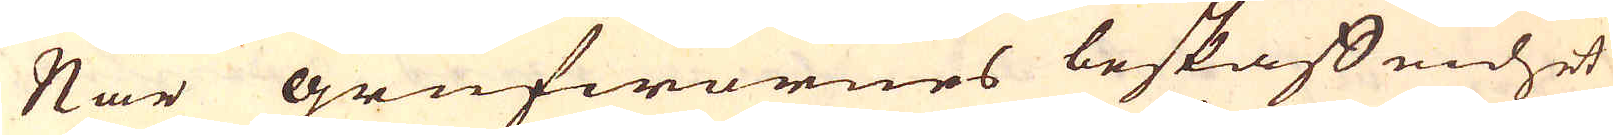När grufwornes beskaffenhet
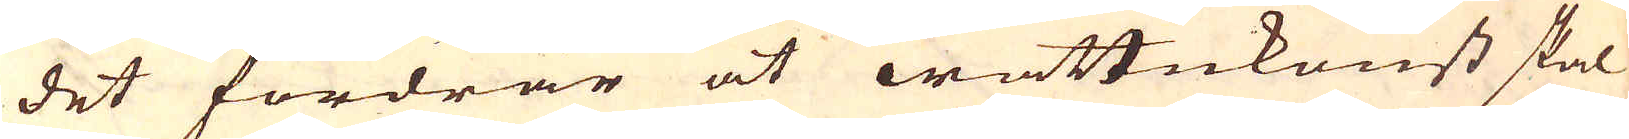det fordrar at wattukonst skal
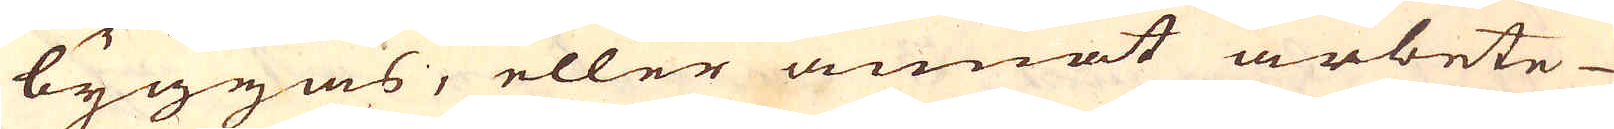byggas, eller annat arbete
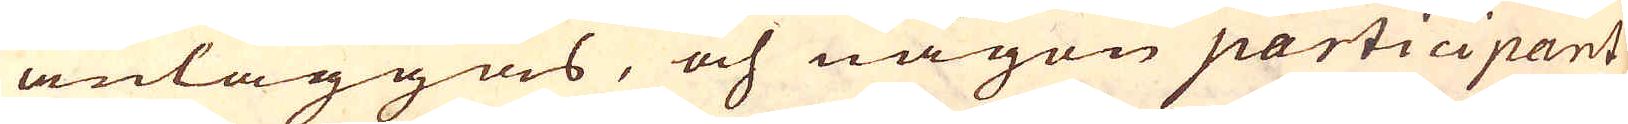anläggas, och någon participant
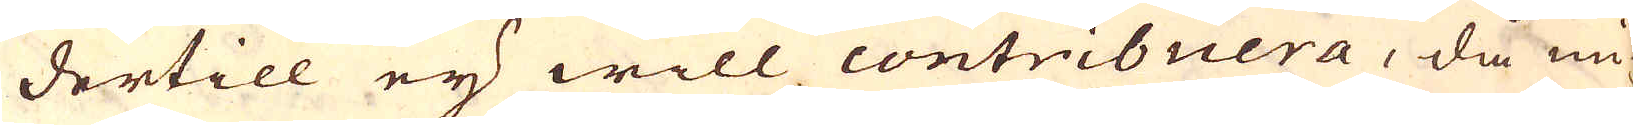dertill ey will contribuera, då mi-
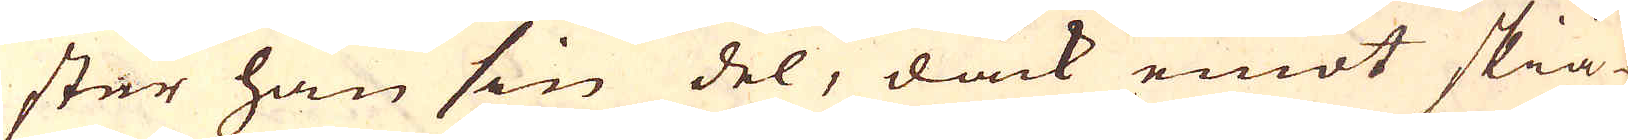ster han sin del, dåck emot skiä-
